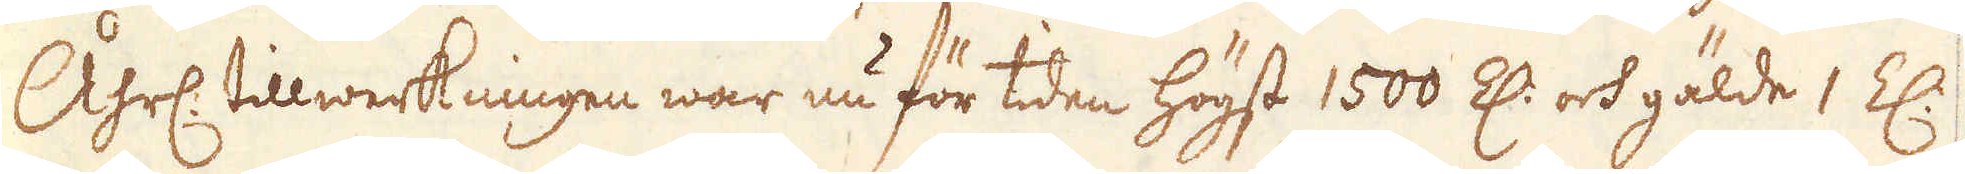Åhrl: tillwerkningen war nu för tiden högst 1500 Z: och gälde 1 Z:
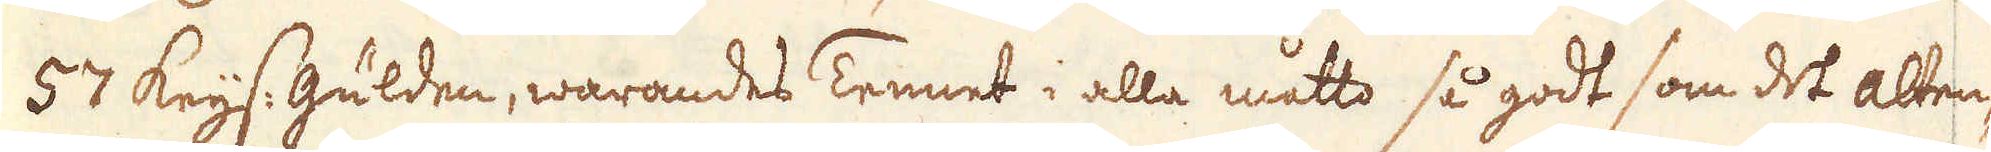57 Keijs: Gülden, warandes Tennet i alla måtto så godt som det Alten-
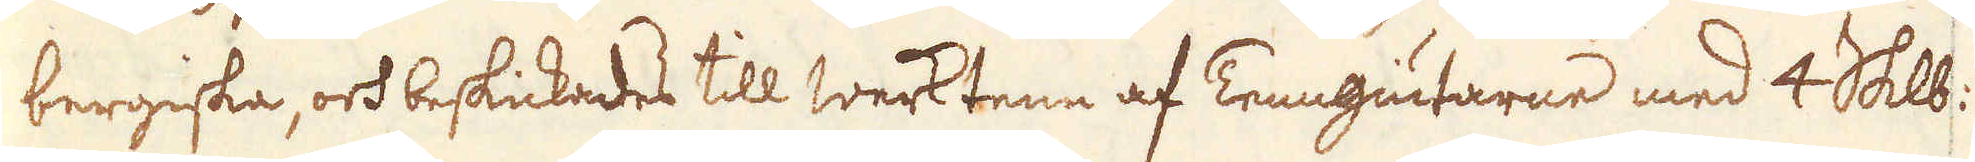bergiska, och beskickades till werktenn af Tenngiutarne med 4 skålpund
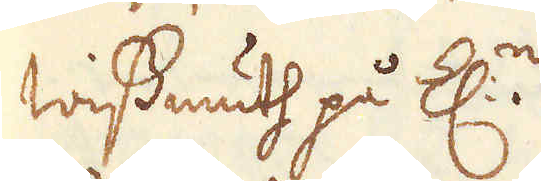wissmuth på Z:n.
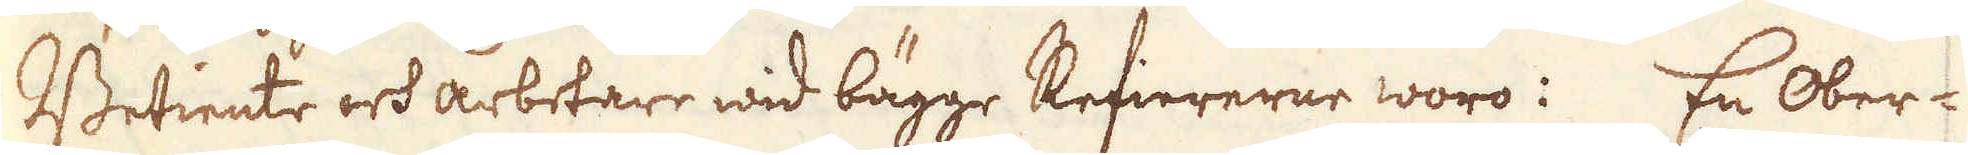Betiente och arbetare wid bägge Refiererne woro: En Ober-
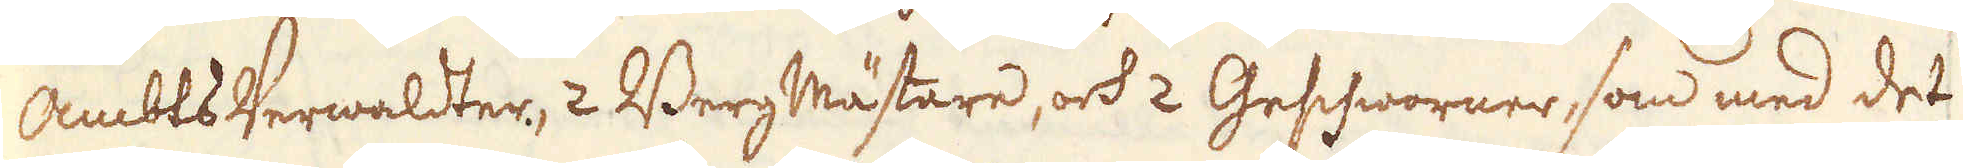Ambts Verwaldter, 2 Berg Mästare, och 2 Geschworner, som med det
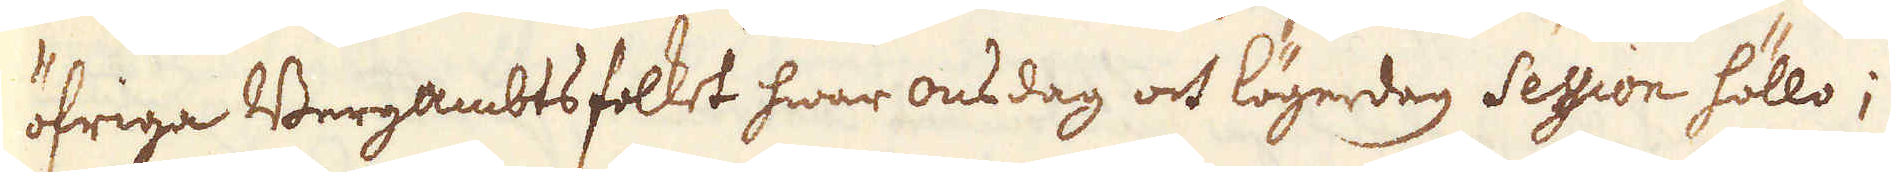öfriga Bergambtsfolket hwar onsdag och lögerdag Session höllo;
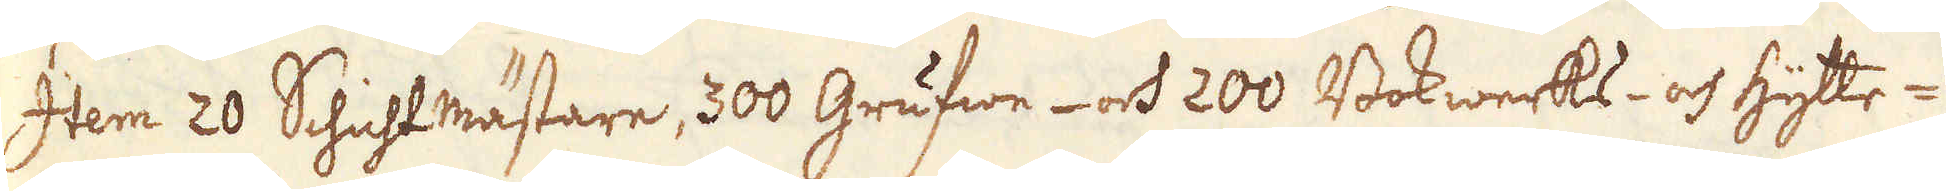Item 20 Schichtmästare, 300 Grufwe- och 200 Bokwerks- och Hytte-
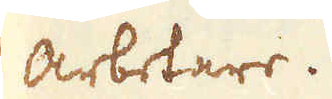Arbetare.
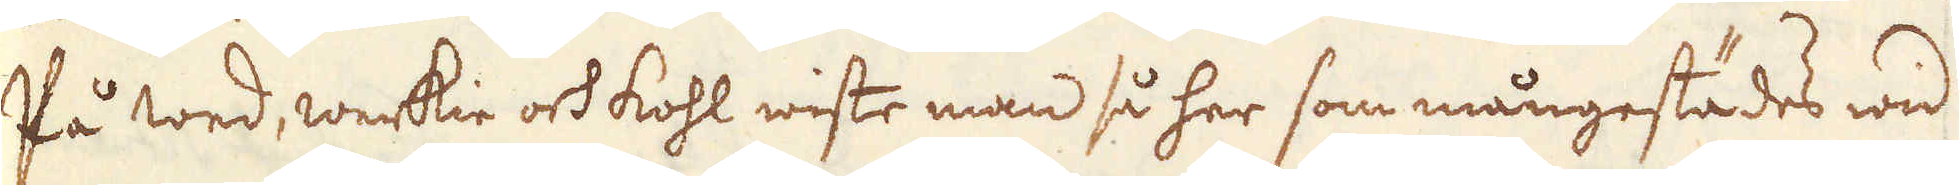På wed, werkie och kohl wiste man så her som mångestädes wid
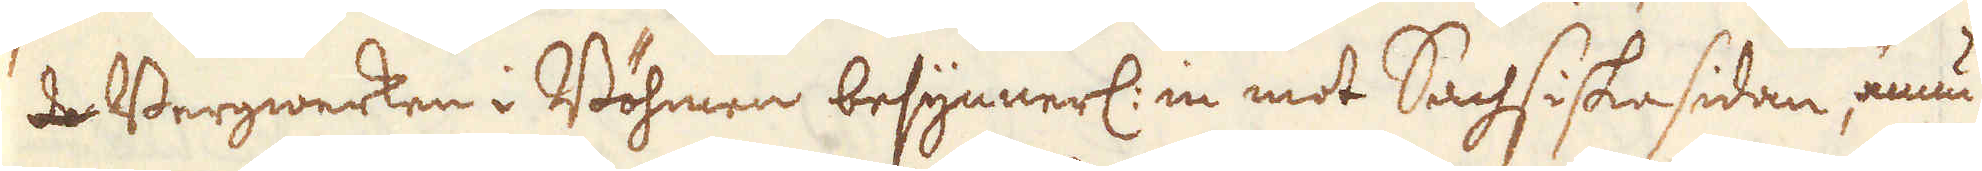de Bergwerken i Böhmen besynnerl: in mot Sachsiska sidan, ännu
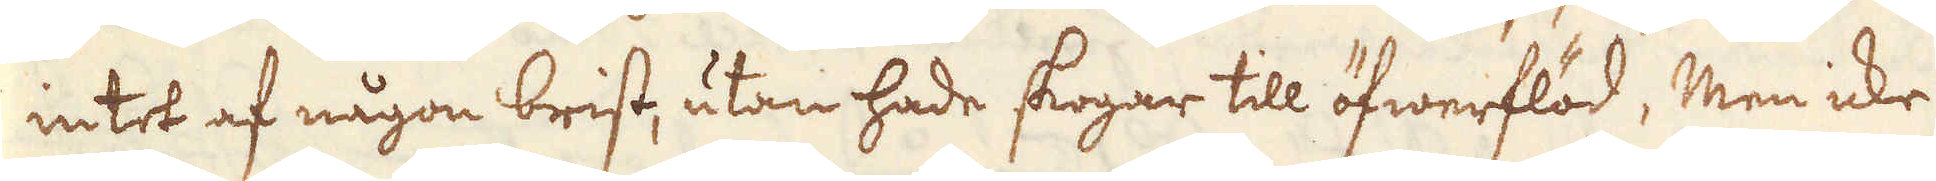intet af någon brist, utan hade skogar till öfwerflöd, men icke
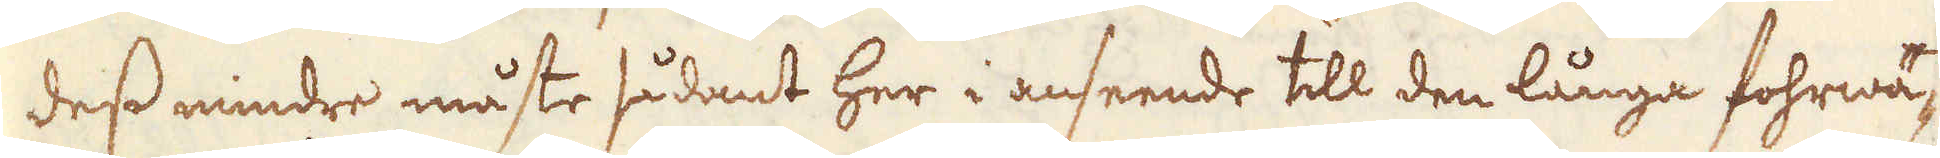dess mindre måste sådant her i anseende till den långa fohrwä-
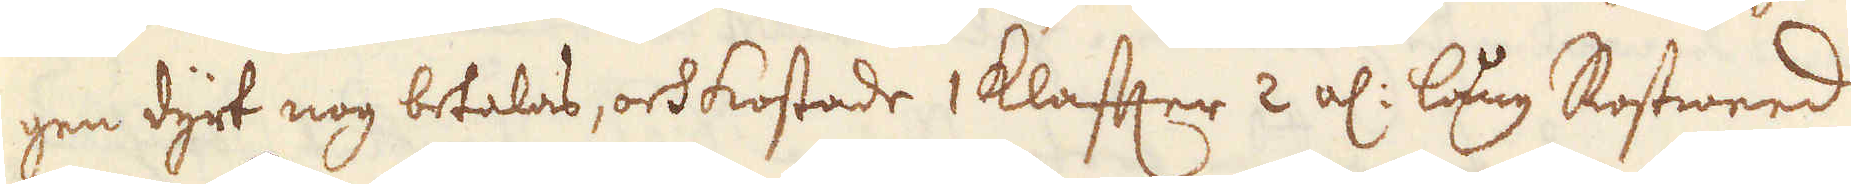gen dyrt nog betalas, och kostade 1 Klafter 2 al: lång Rostweed
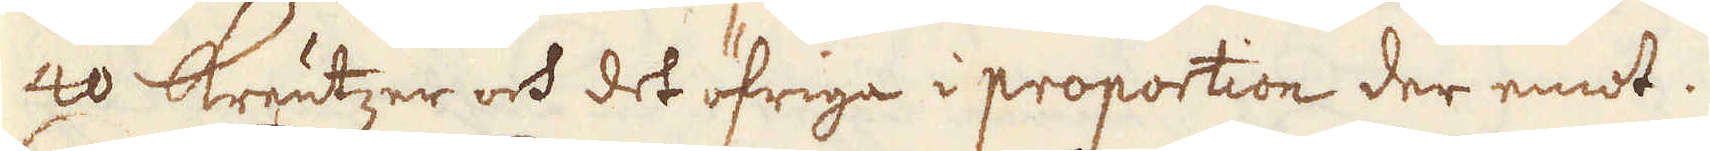40 Kreutzer och det öfriga i proportion der emot.
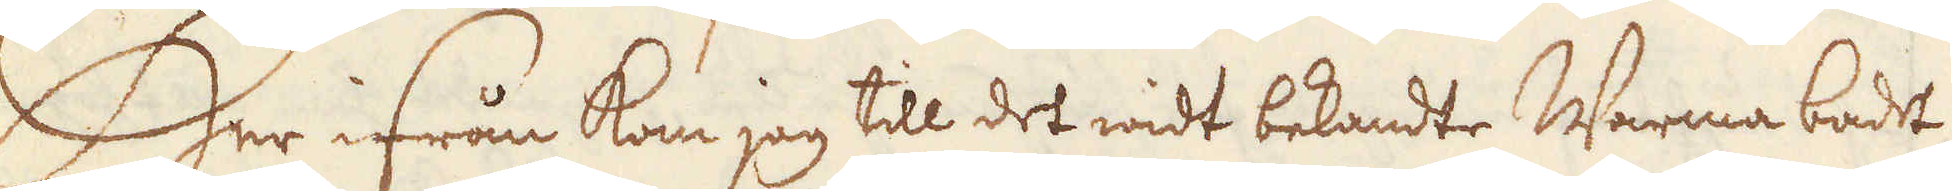Her ifrån kom jag till det widt bekandte Warma badet
